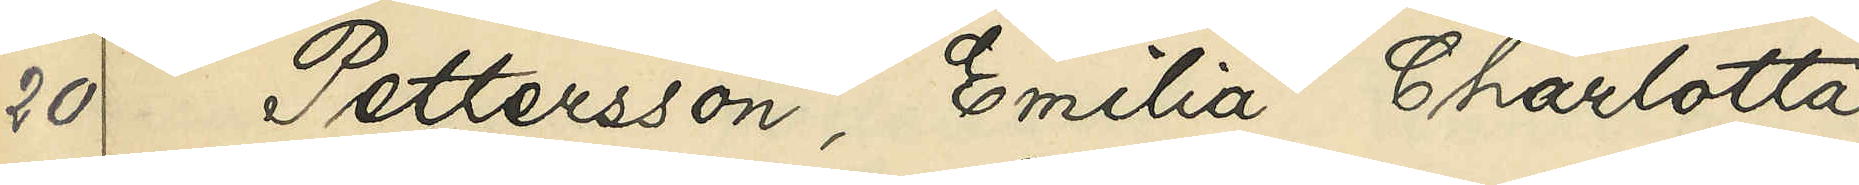20 Pettersson, Emilia Charlotta
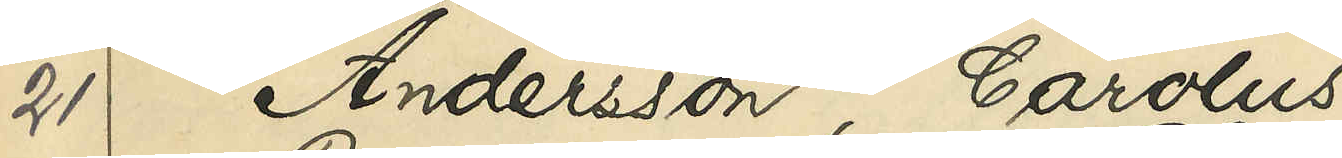21 Andersson, Carolus
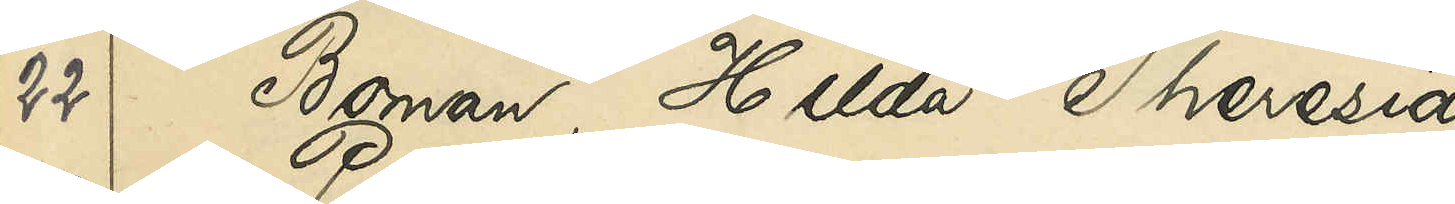22 Boman, Hilda Theresia
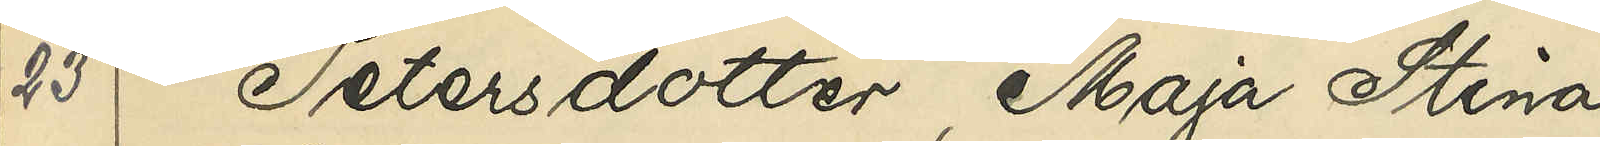23 Petersdotter, Maja Stina
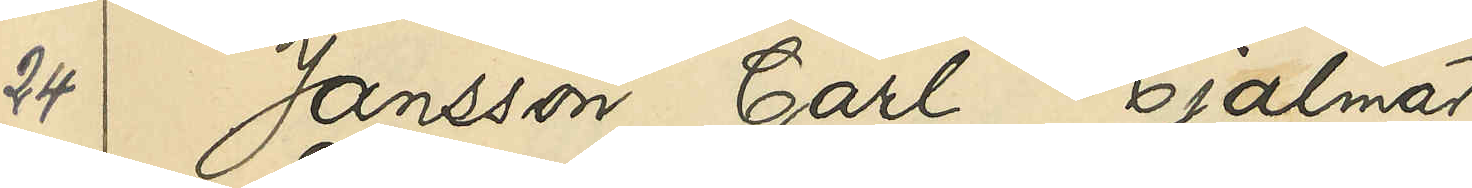24 Jansson, Carl Hjalmar
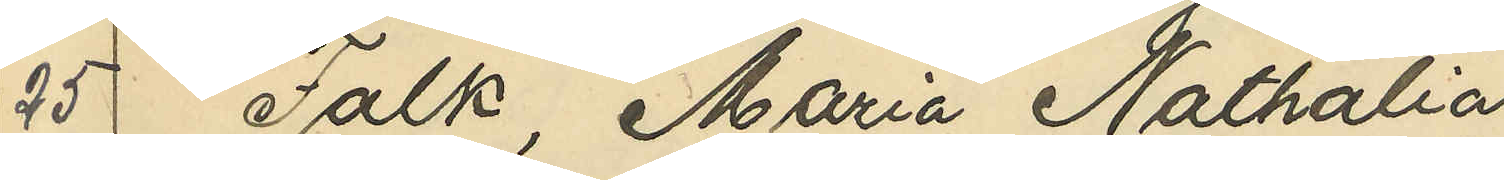25 Falk, Maria Nathalia
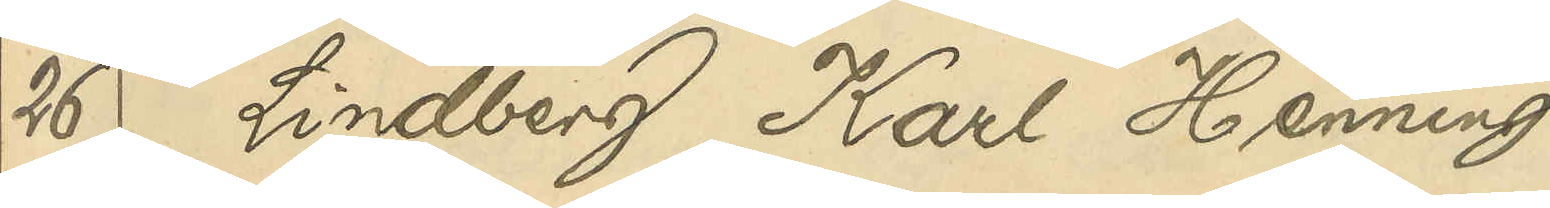26 Lindberg, Karl Henning
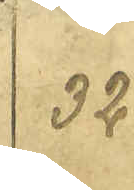32
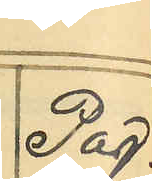Pag.
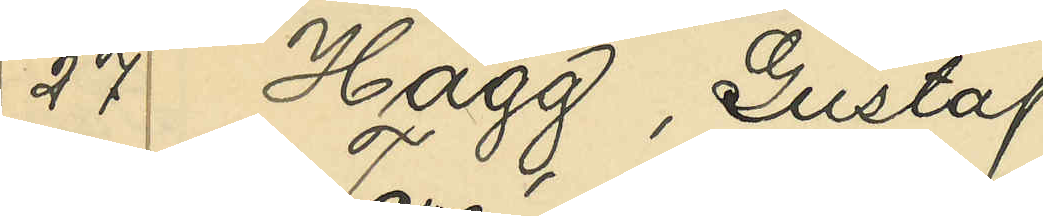27 Hägg, Gustaf
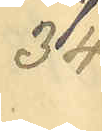34
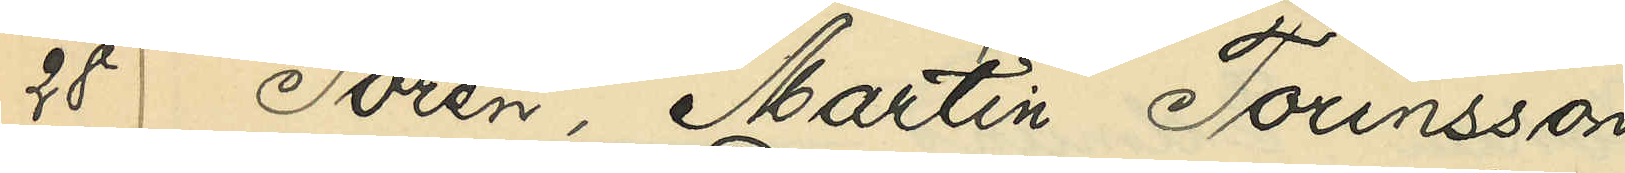28 Torén, Martin Torinsson
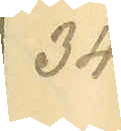34
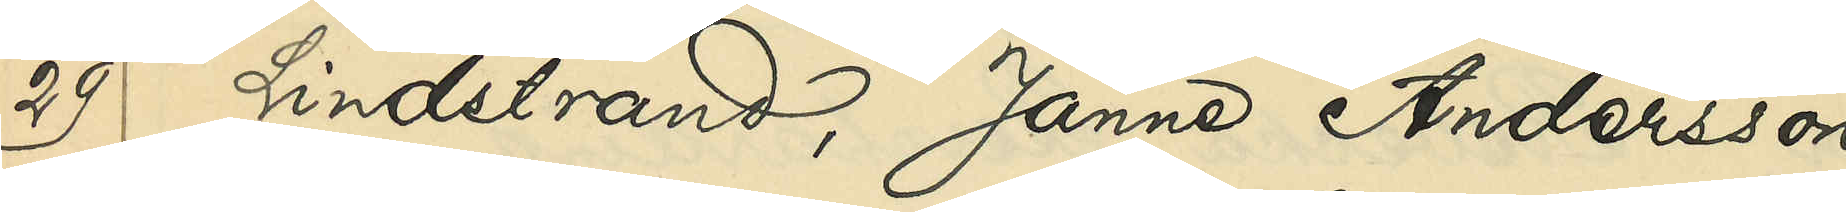29 Lindstrand, Janne Andersson
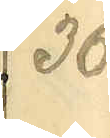36
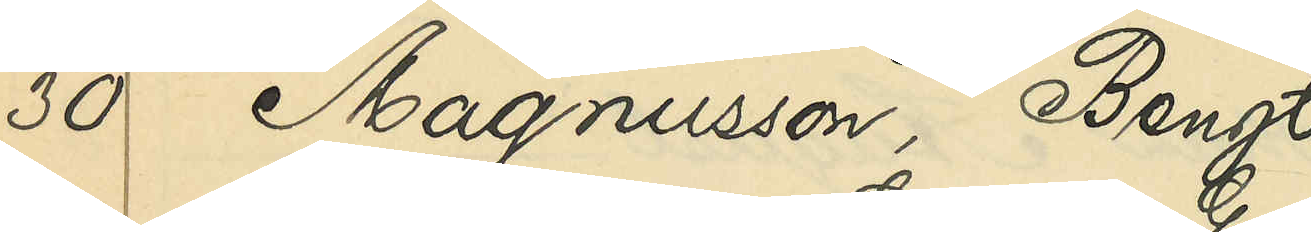30 Magnusson, Bengt
